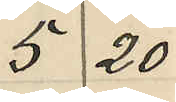5 20
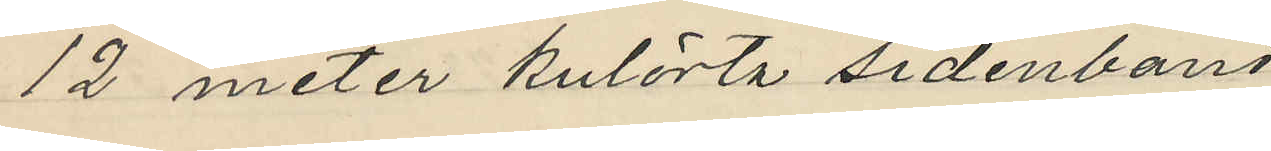12 meter kulörta sidenband
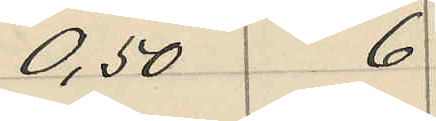0,50 6
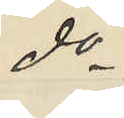do
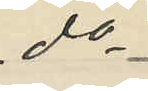do
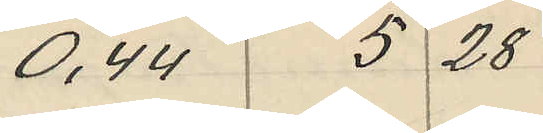0,44 5 28
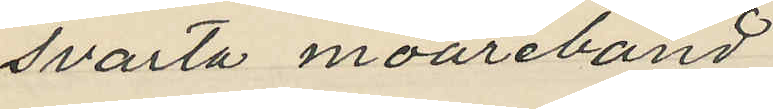svarta moareband
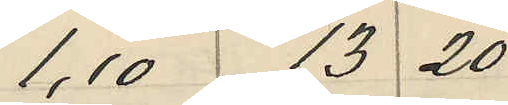1,10 13 20
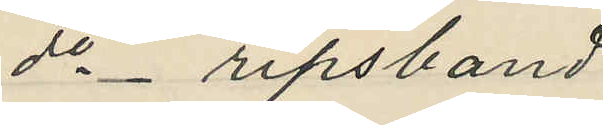do _ ripsband
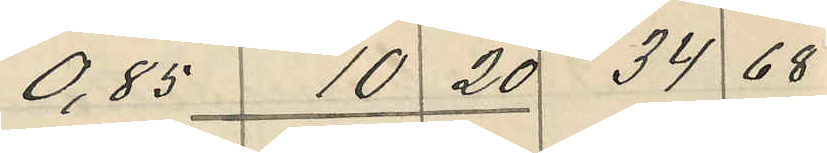0,85 10 20 34 68
